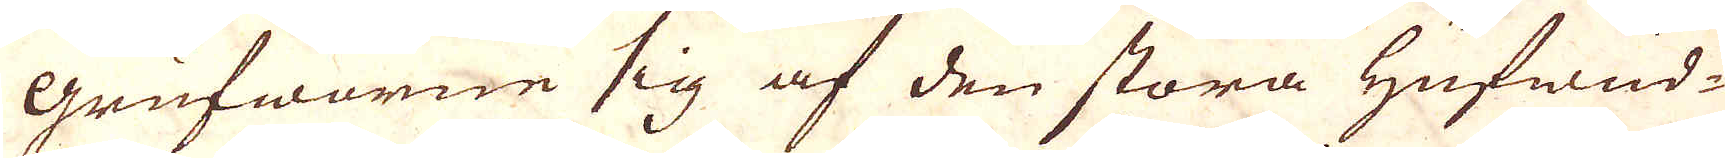grufworne sig af den stora Hufwud-
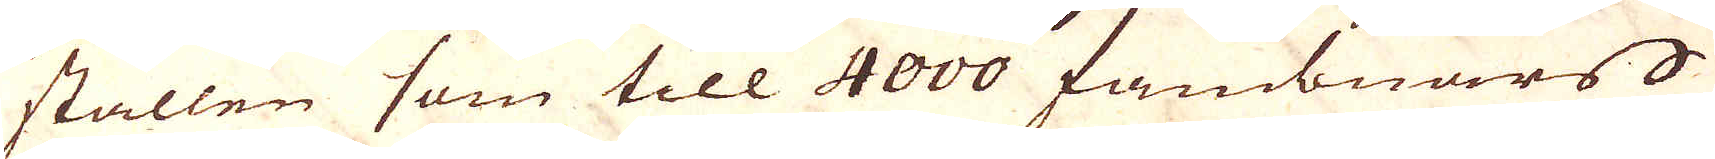ställen som till 4000 fambnars
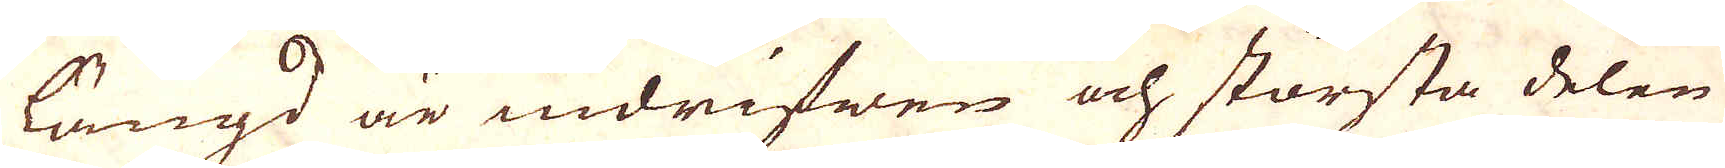längd är indrifwen och största delen
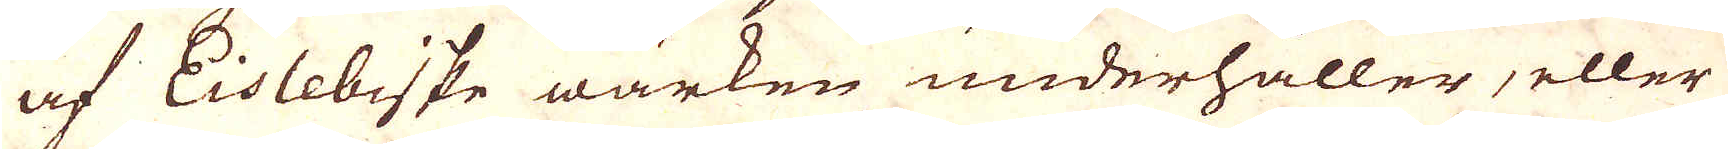af Eislebiske wärken underhåller, eller
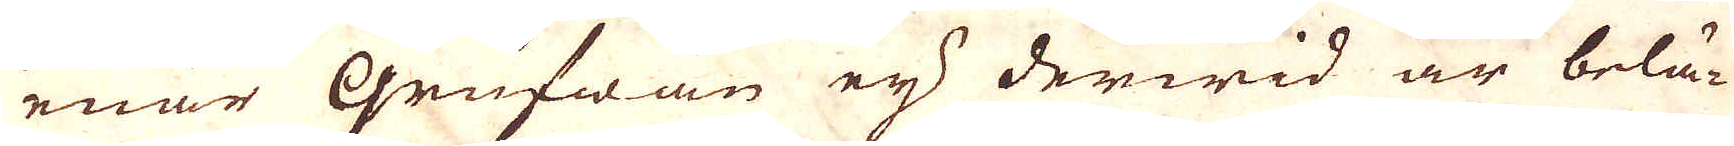enär Grufwan ej derwid är belä-
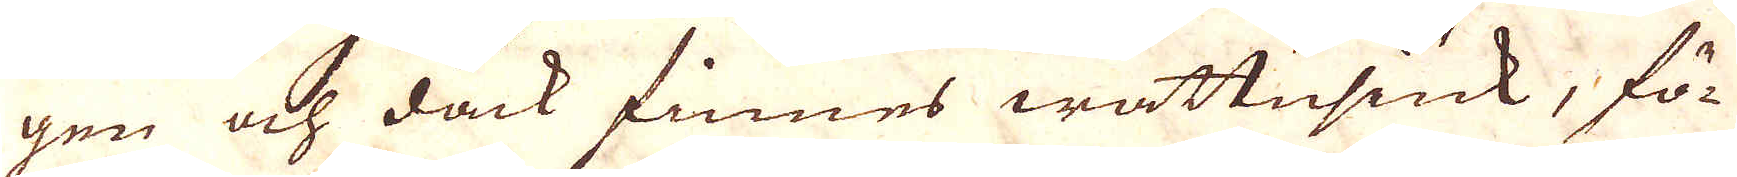gen och dock finnes wattusiuk, fö-
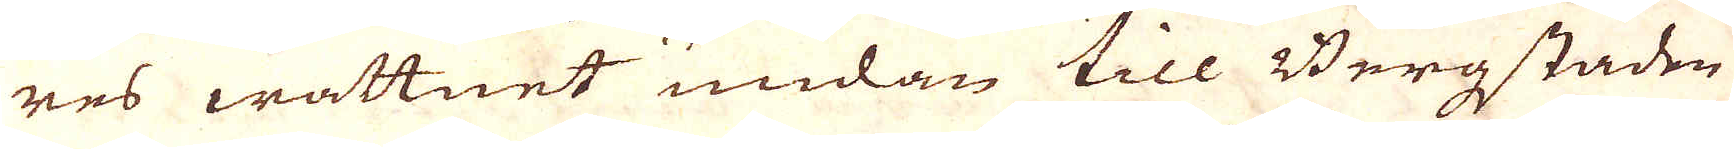res wattnet undan till Bergstaden
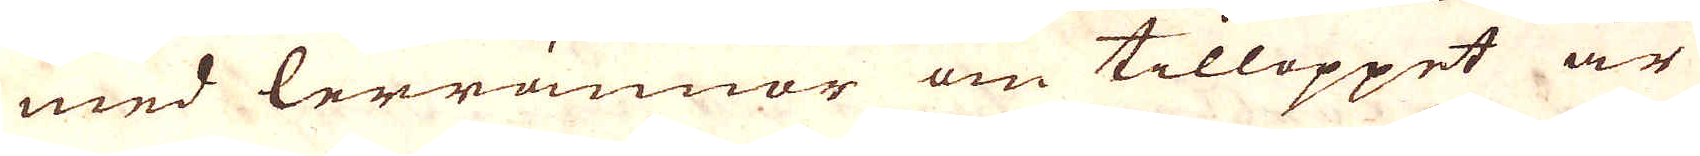med lerrännor om tilloppet är
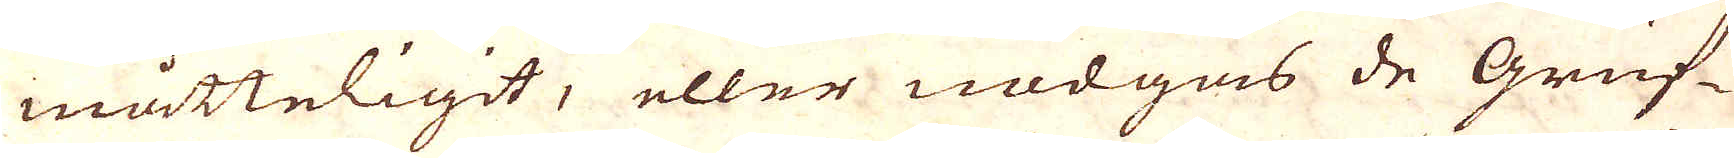måtteligit, eller nödgas de Gruf-
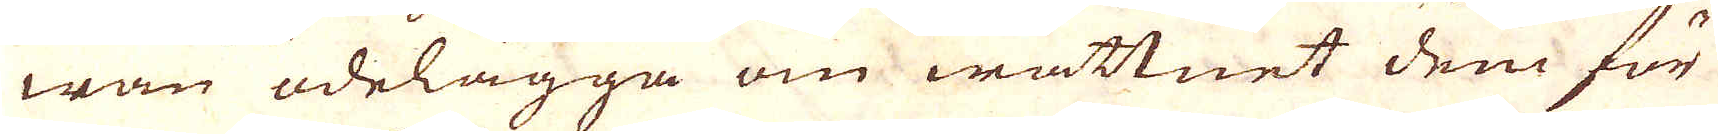wan ödelägga om wattnet dem för
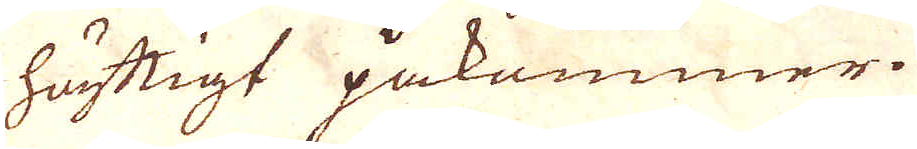häfttigt påkommer.
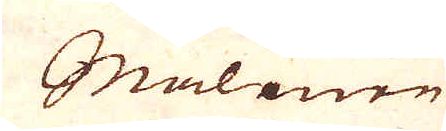Malmen
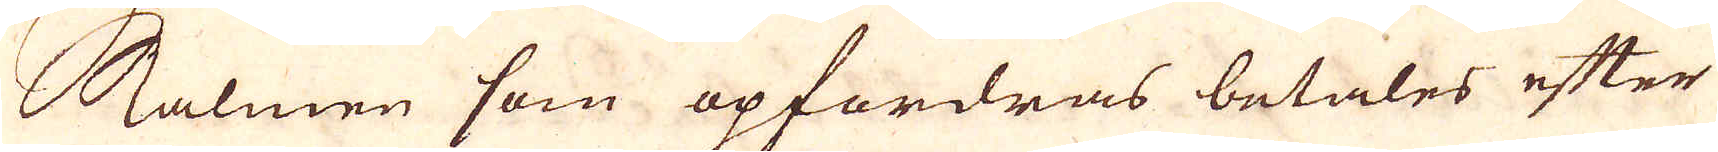Malmen som opfordras betales efter
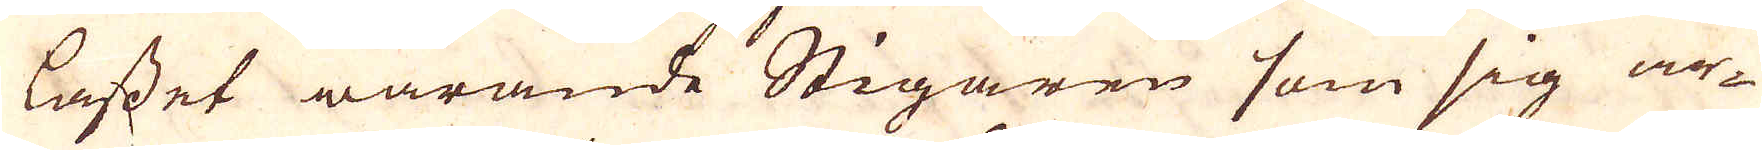lasset warande Stigaren som sig ar-
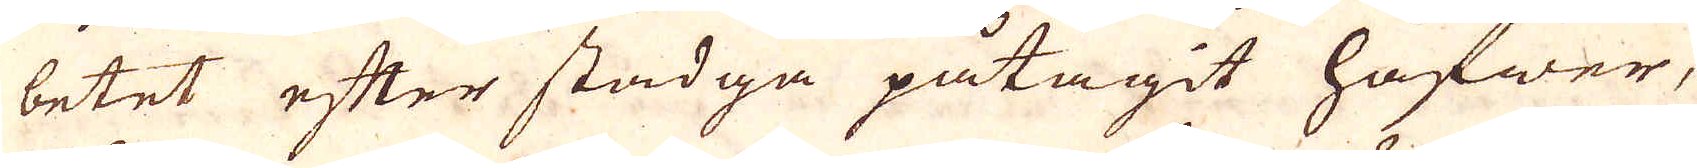betet efter stadga påtagit hafwer,
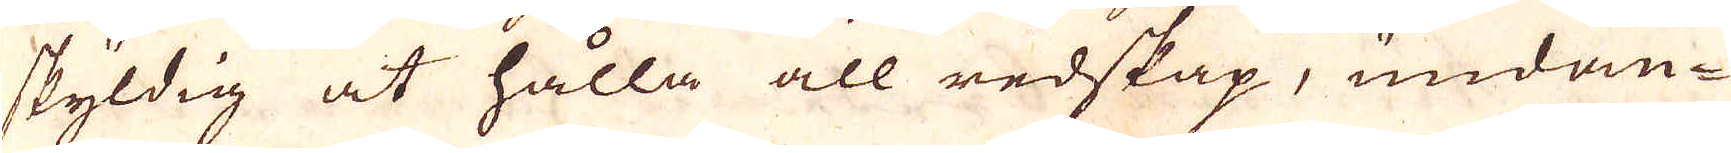skyldig at hålla all redskap, undan-
